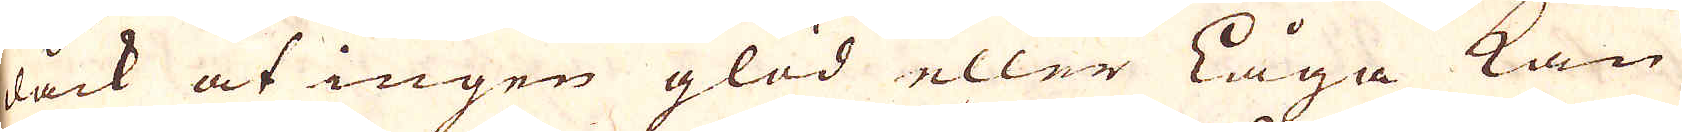dåck at ingen glöd eller Låga kan
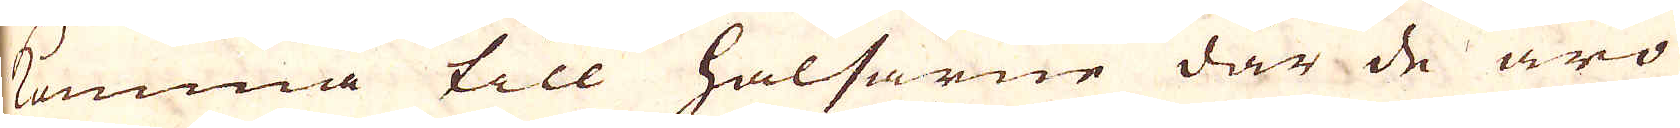komma till halsarne där de äro
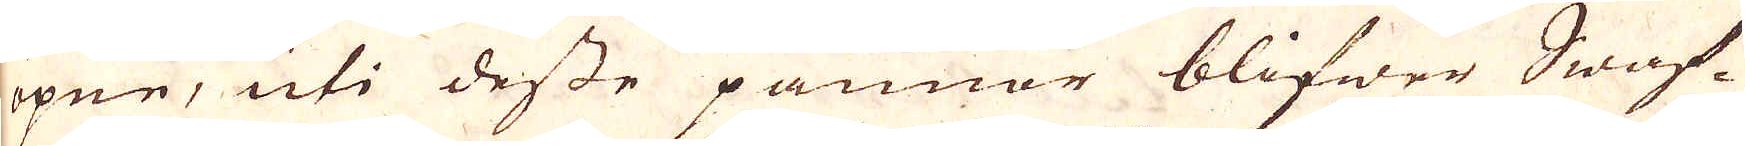öpne, uti desse pannor blifwer Swaf-
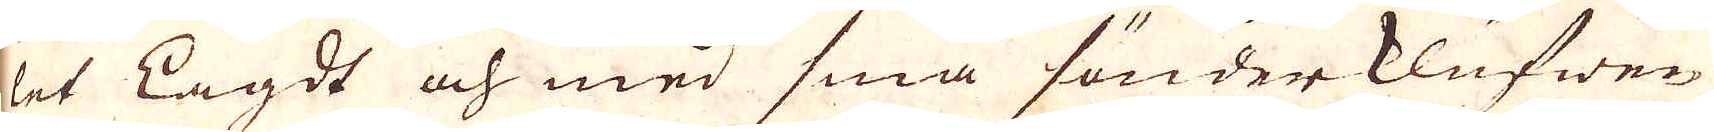let Lagdt och med små sönderklufwne
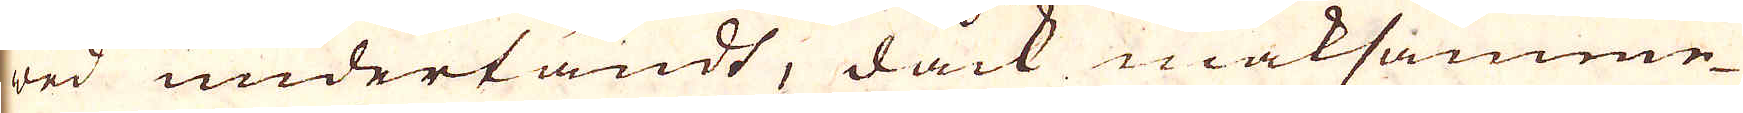wed undertändt, dock maksamme-
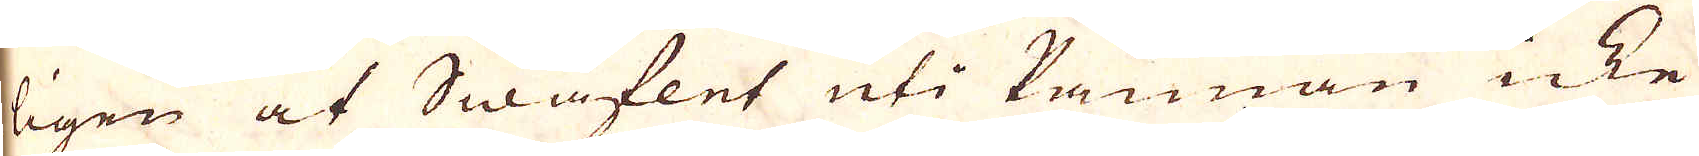ligen at Swaflet uti Pannan icke
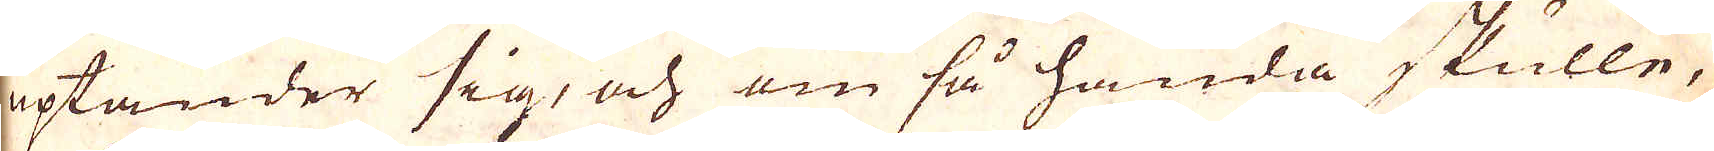uptänder sig, och om så hända skulle,
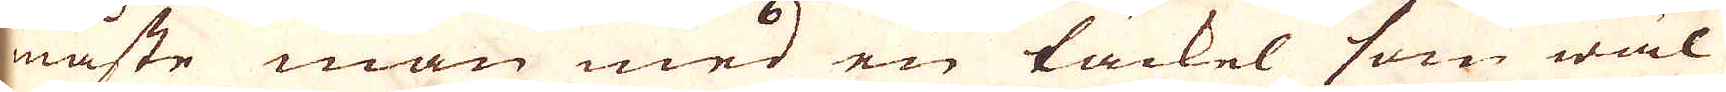måste man med en täckel som wäl
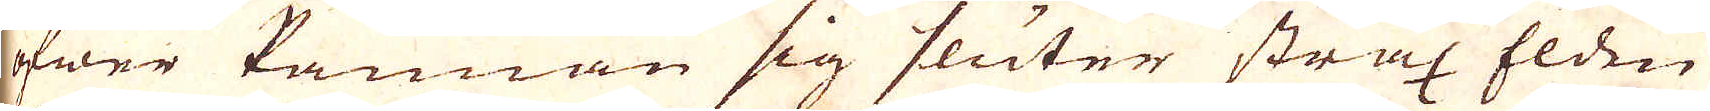öfwer Pannan sig sluter strax Elden
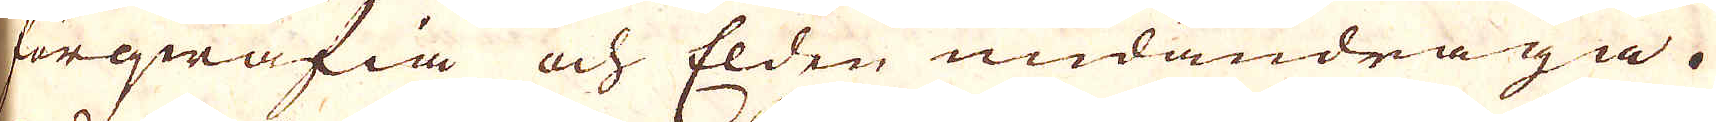förqwäfia och Elden undandraga.
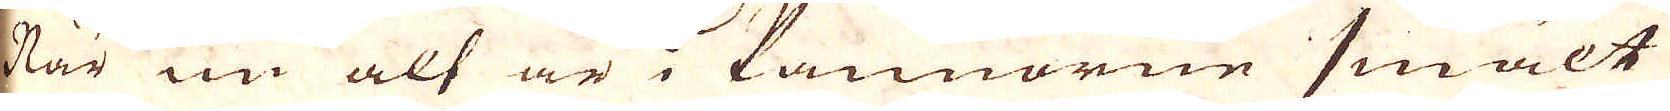När nu alt är i Pannorne smält
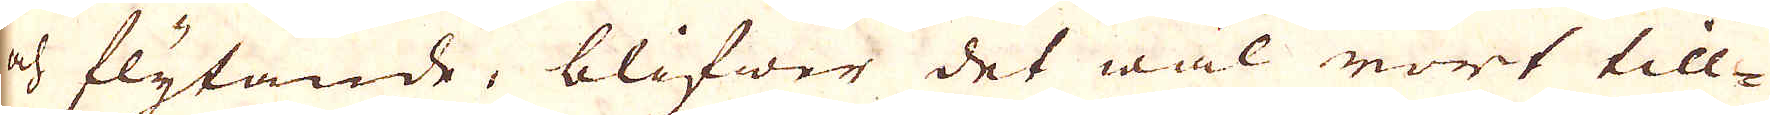och flytande, blifwer det wäl rört till-
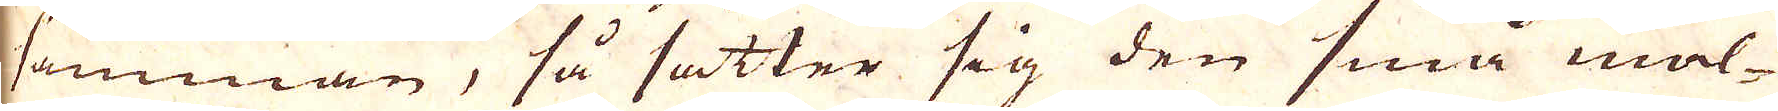samman, så sätter sig den små mal-
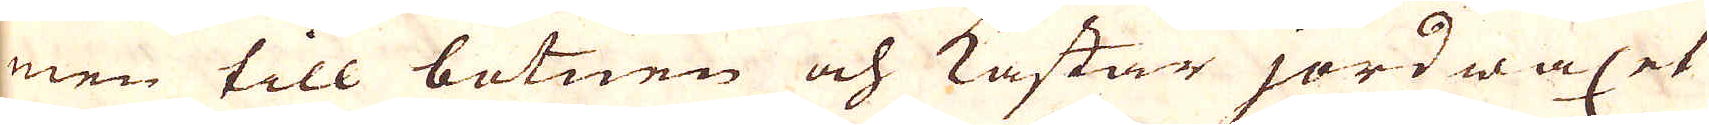men till botnen och kastar jord waxet
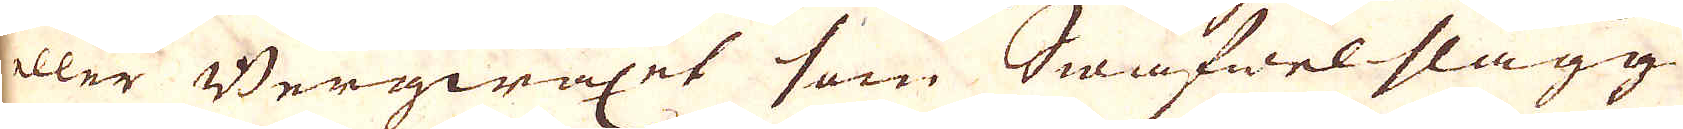eller Bergwaxet som Swafwelslagg
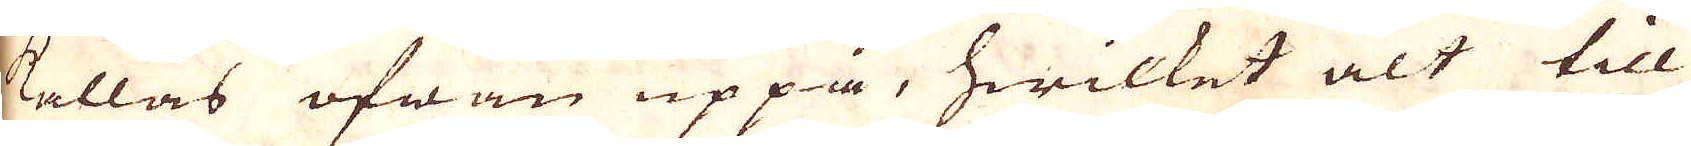kallas ofwan uppå, hwilket alt till
